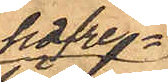hafre¬
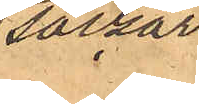säckar¬
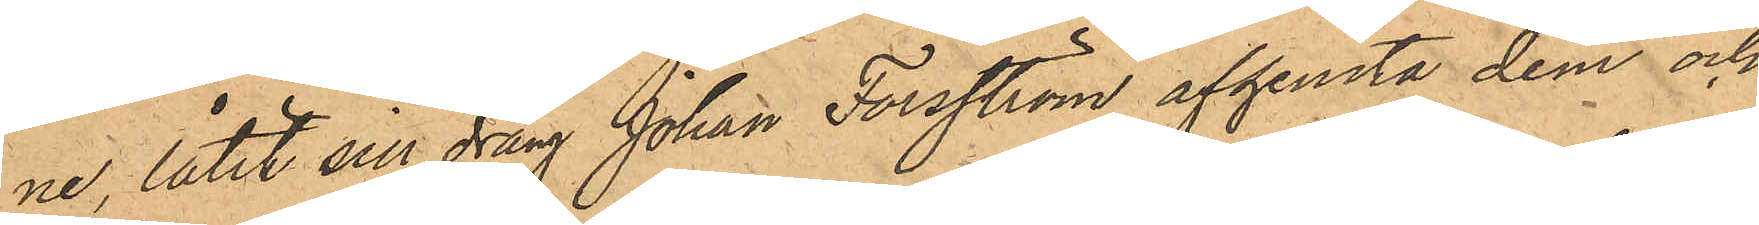ne, låtit sin dräng Johan Forsström afhemta dem och
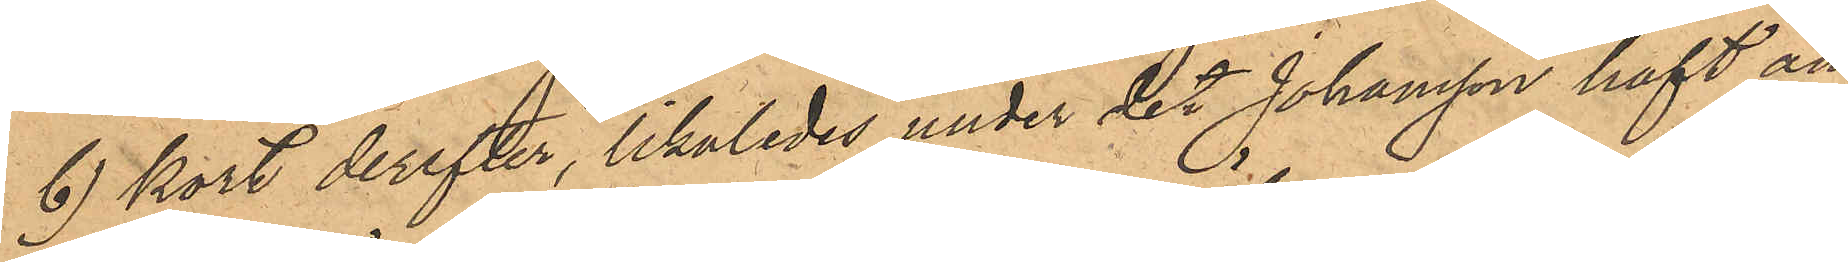b) kort derefter, likaledes under det Johansson haft an¬
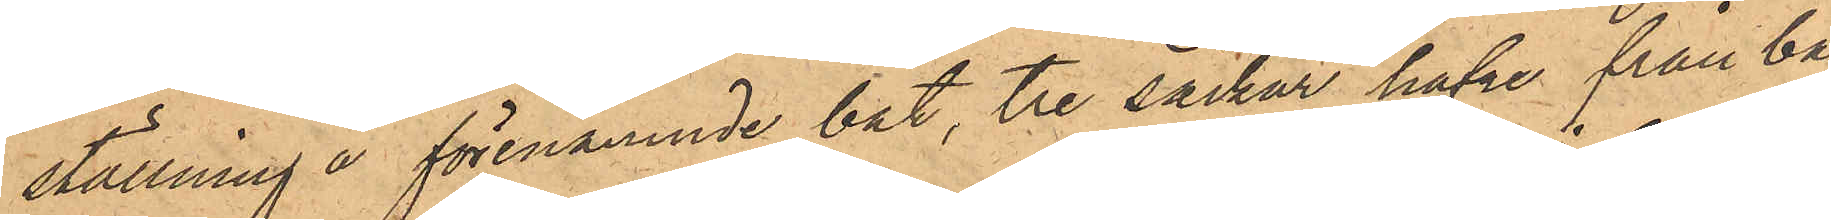ställning å förenämnde båt tre säckar hafre från bå¬
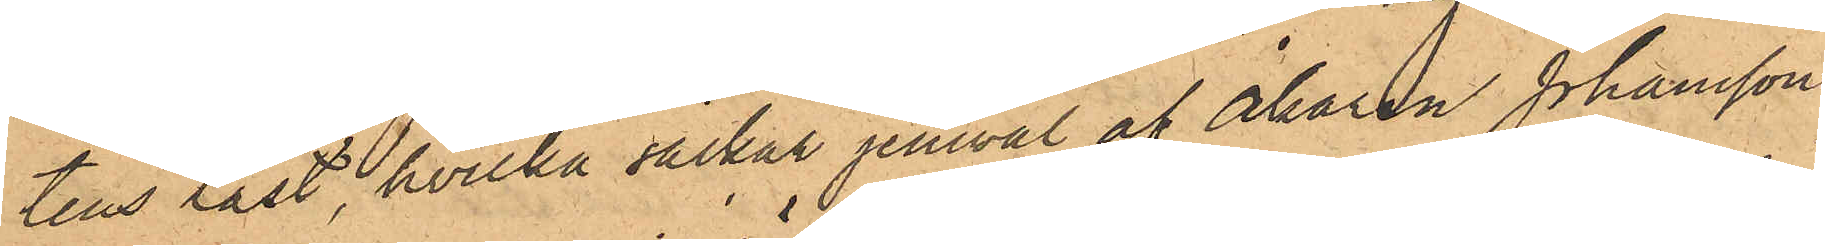tens last, hvilka säckar jemväl af Åkaren Johansson
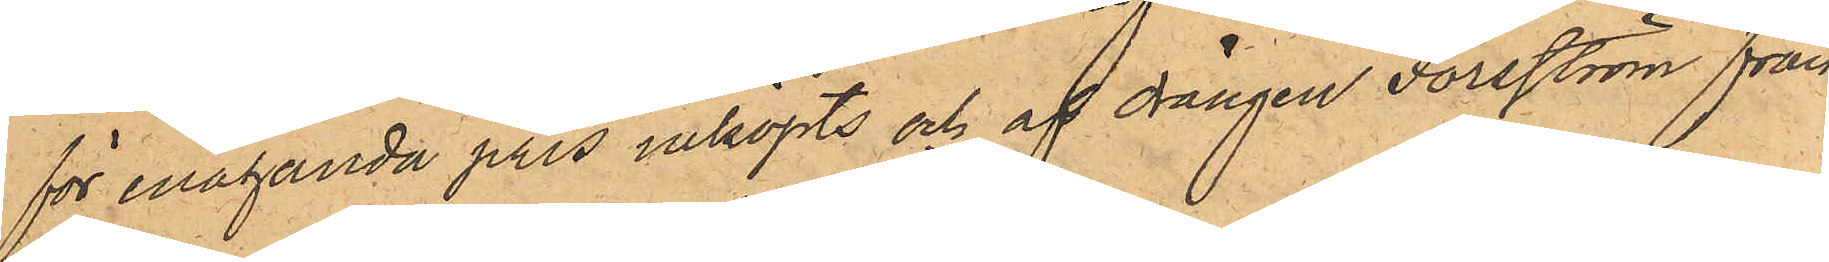för enahanda pris inköpts och af drängen Forsström från
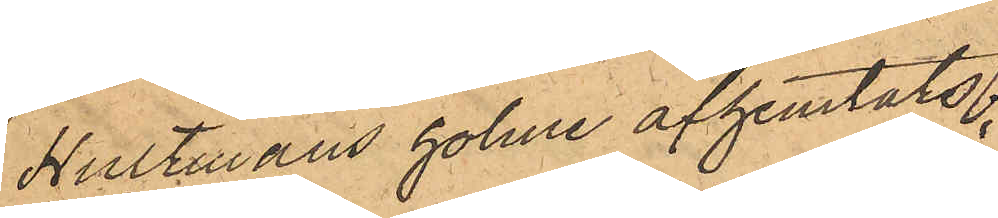Hultmans holme afhemtats:
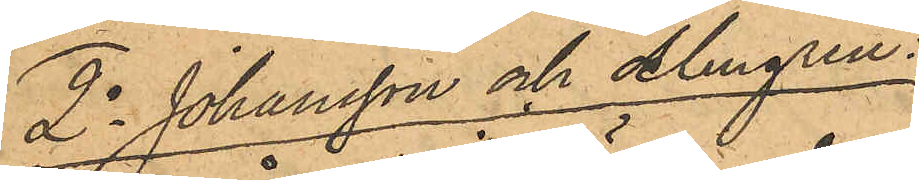2o Johansson och Almgren:
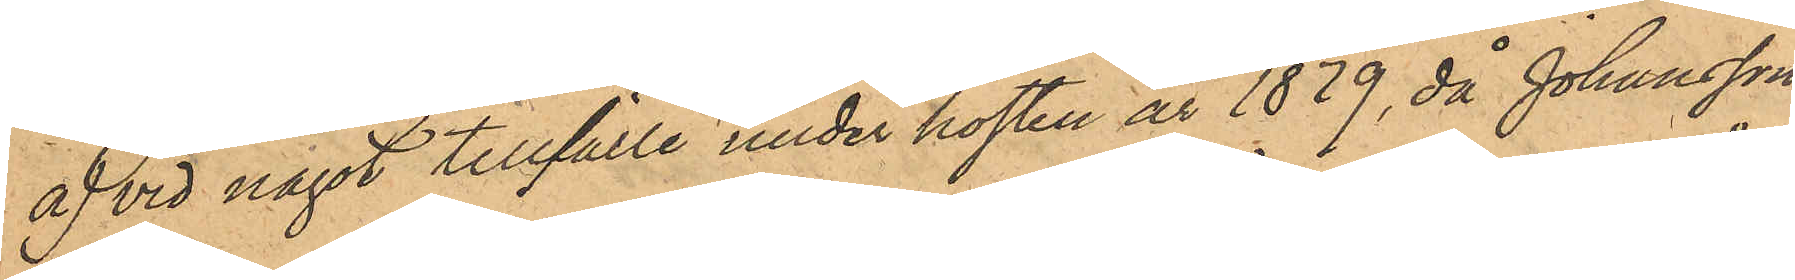a) vid något tillfälle under hosten år 1879, då Johansson
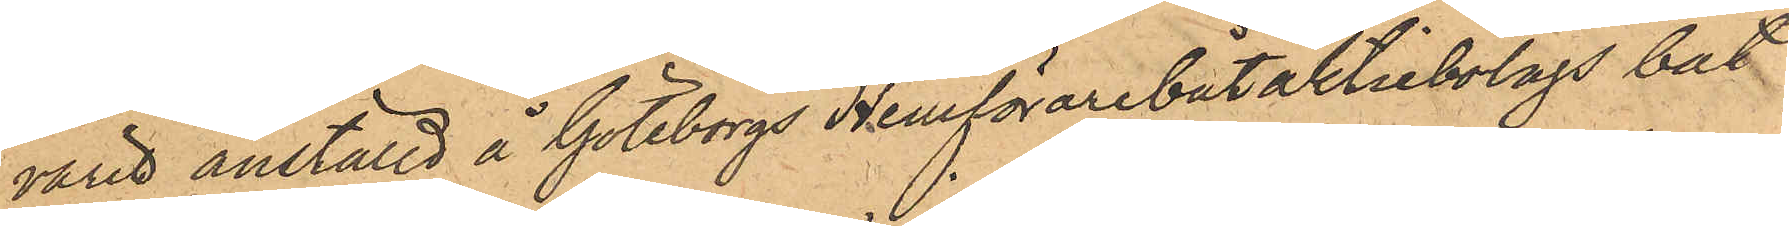varit anställd å Göteborgs Hemförarebåtaktiebolags båt
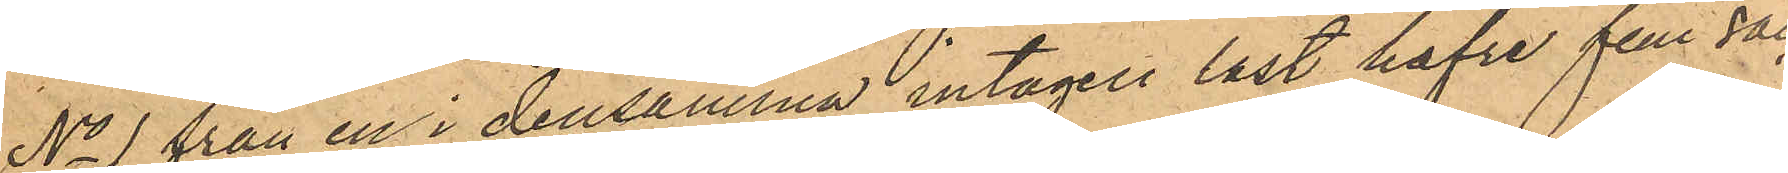No 1 från en i densamma intagen last hafre fem säc¬
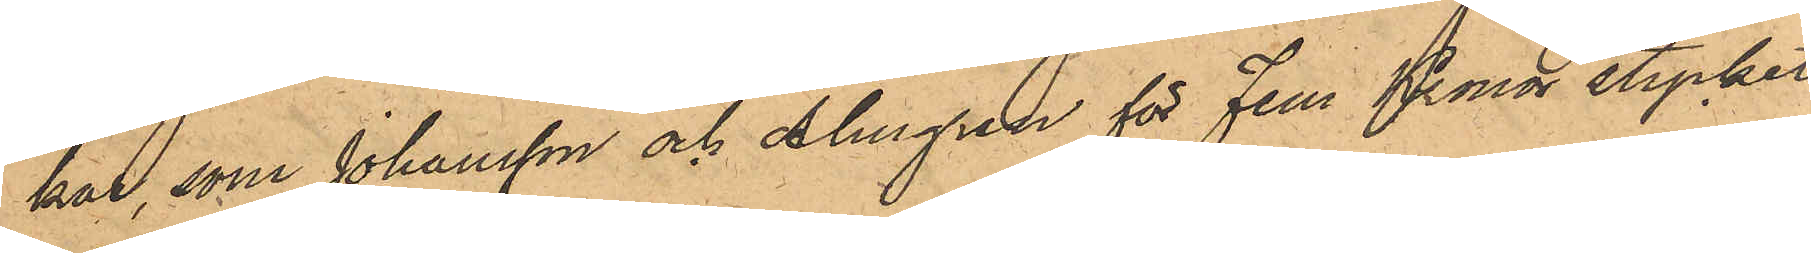kar, som Johansson och Almgren för Fem Kronor stycket
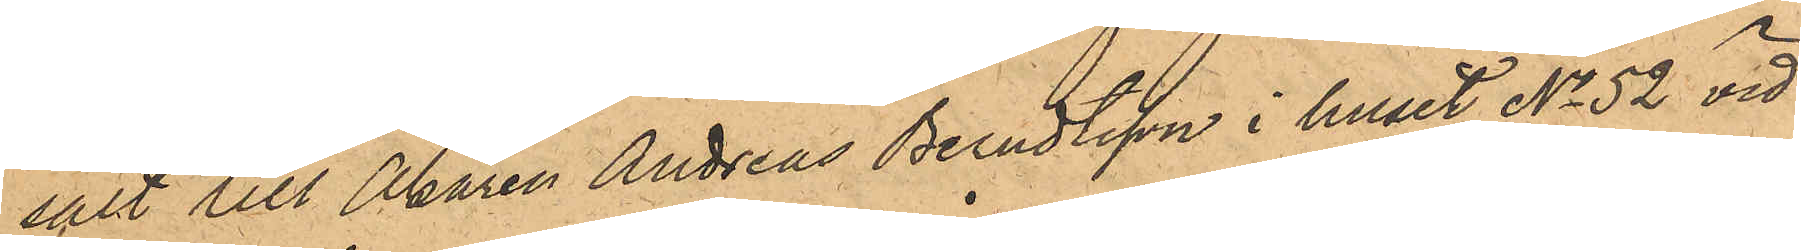sålt till Åkaren Andreas Berndtsson i huset No 52 vid
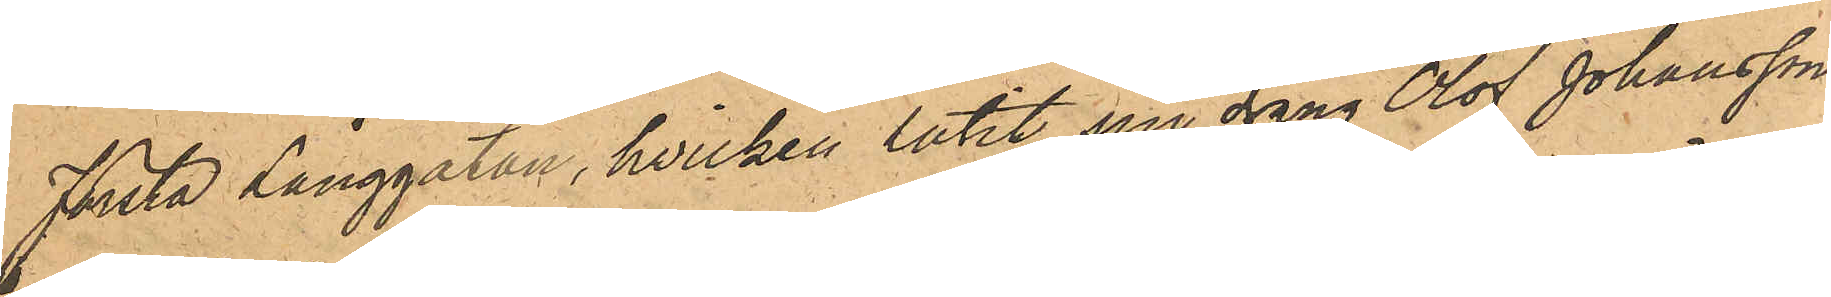Första Långgatan, hvilken låtit sin dräng Olof Johansson
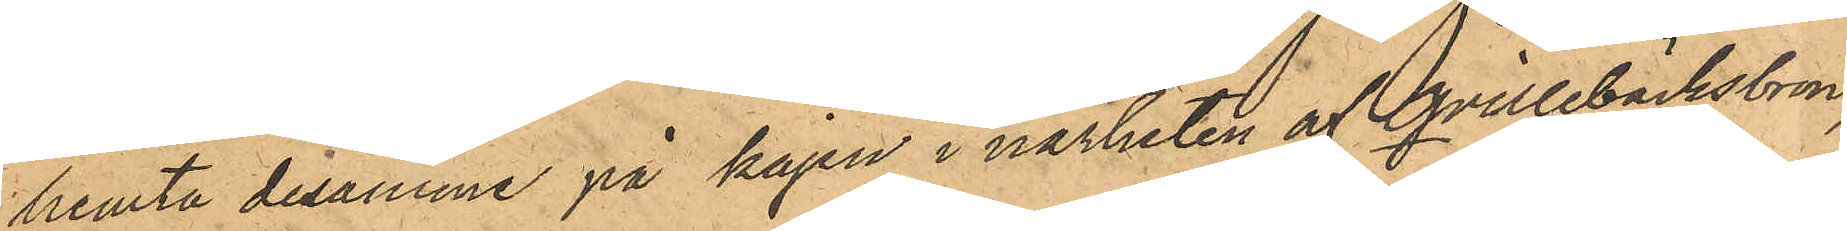hemta desamme på kajen i närheten af Qvillebäcksbron,
